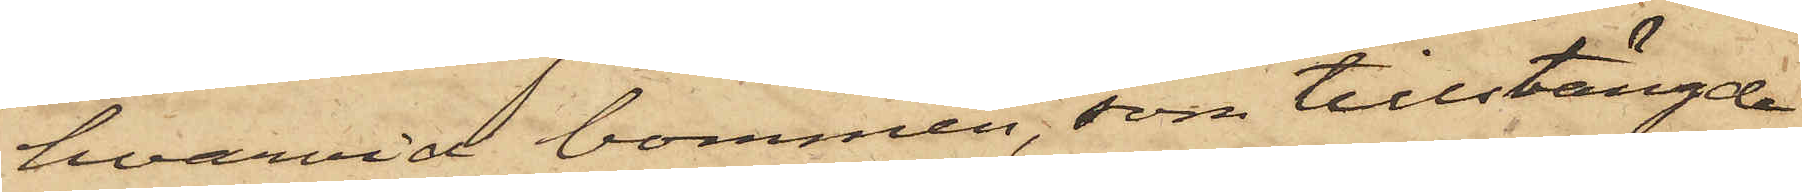hvarvid bommen, som tillstängde
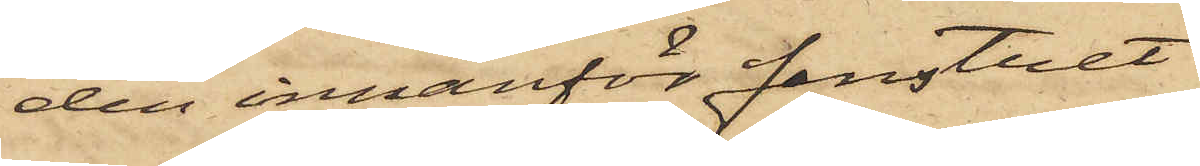den innanför fenstret
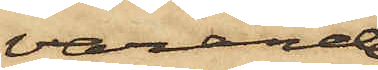varande
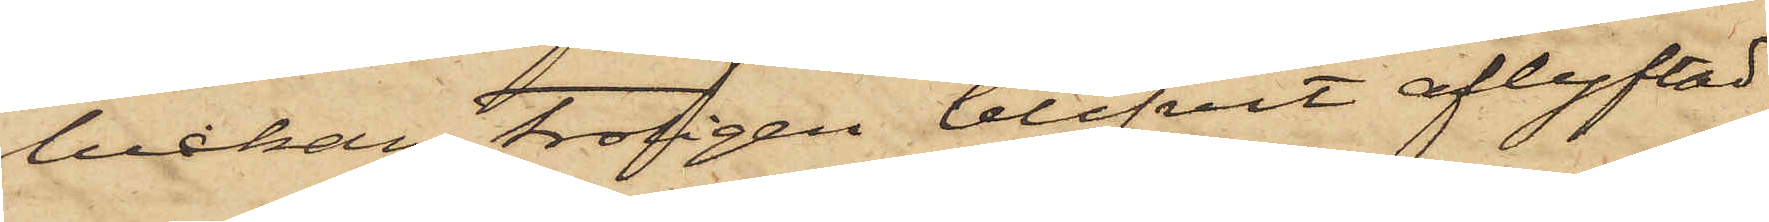luckan, troligen blifvit aflyftad
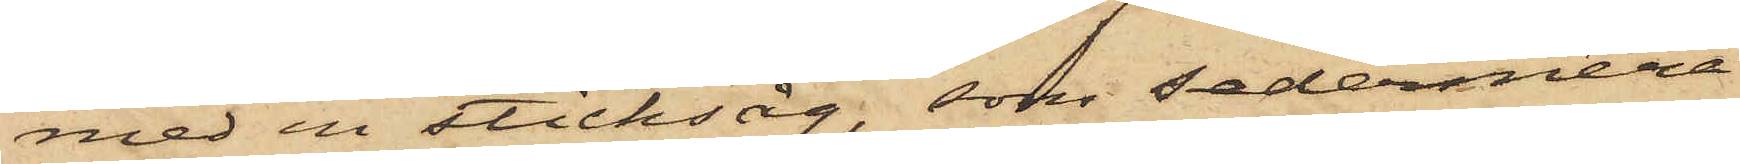med en sticksåg, som sedermera
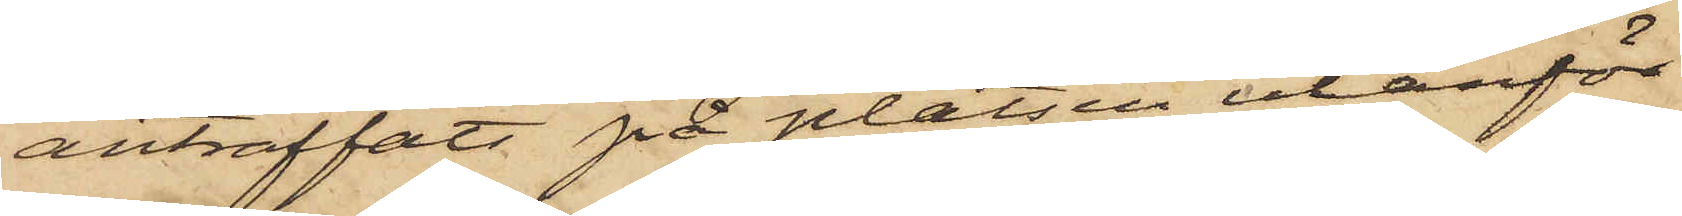anträffats på platsen utanför
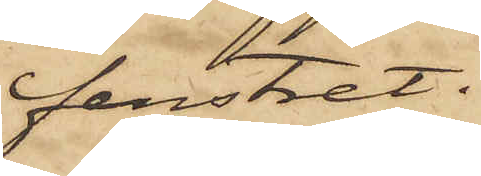fenstret.
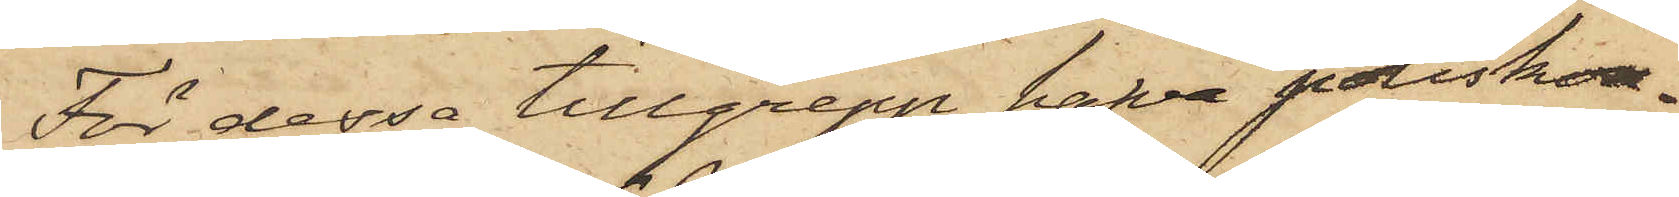För dessa tillgrepp hafva poliskon¬
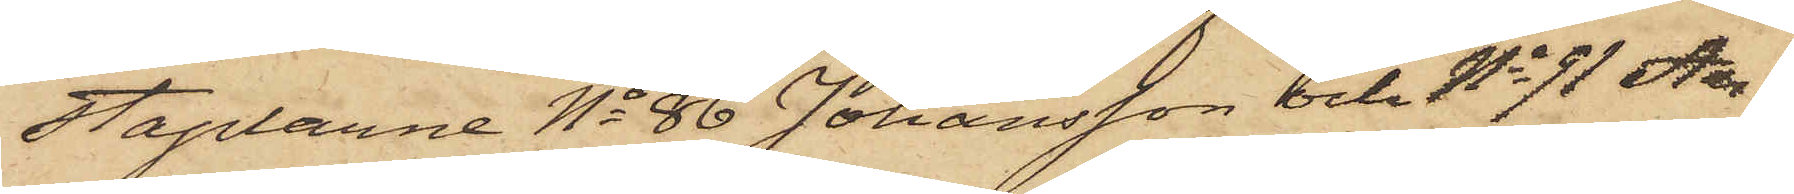staplarne No 86 Johansson och No 91 An¬
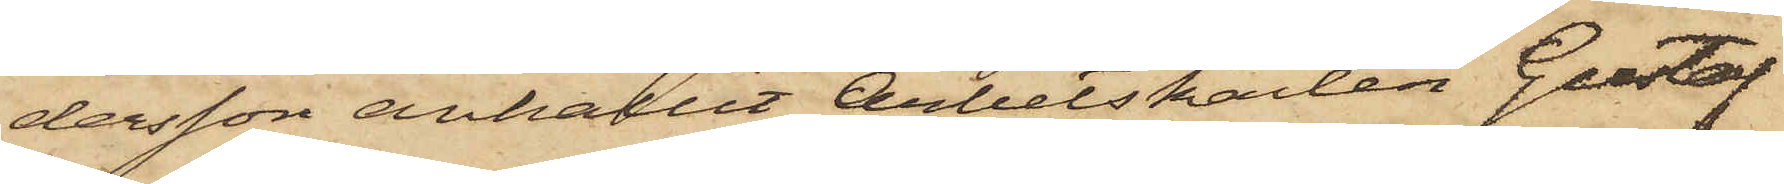dersson anhållit Arbetskarlen Gustaf
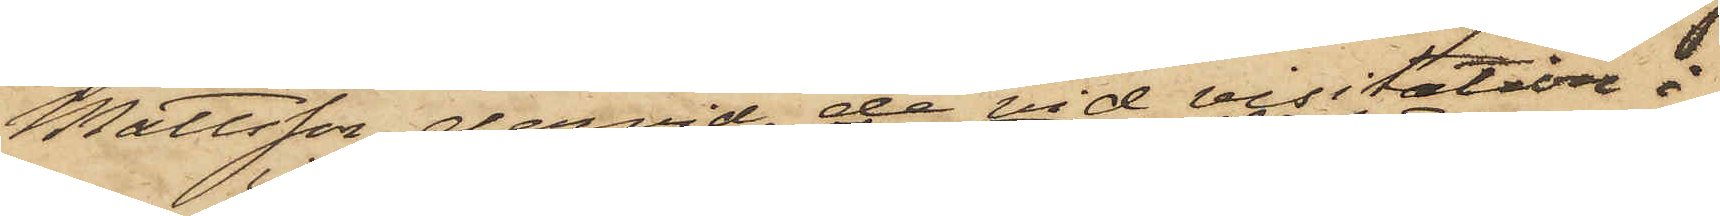Mattsson, dervid de vid visitation i
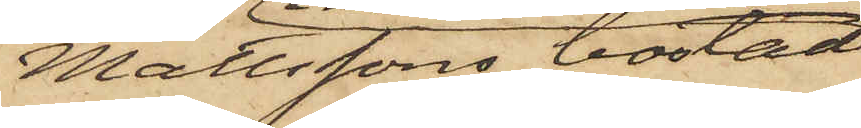Mattssons bostad
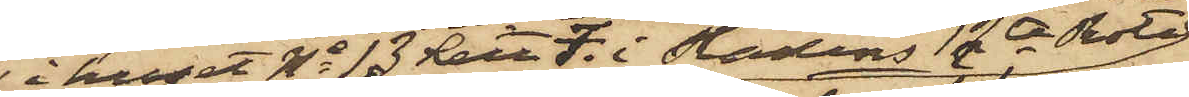i huset No 13 Litt F. i Stadens 12te Rote
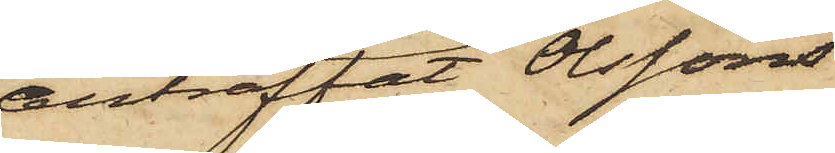anträffat Olssons
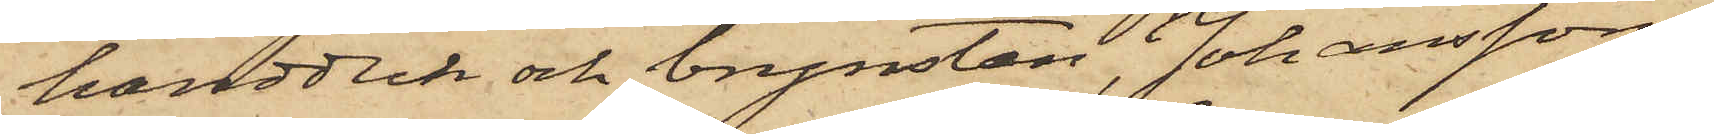handduk och brynsten, Johanssons
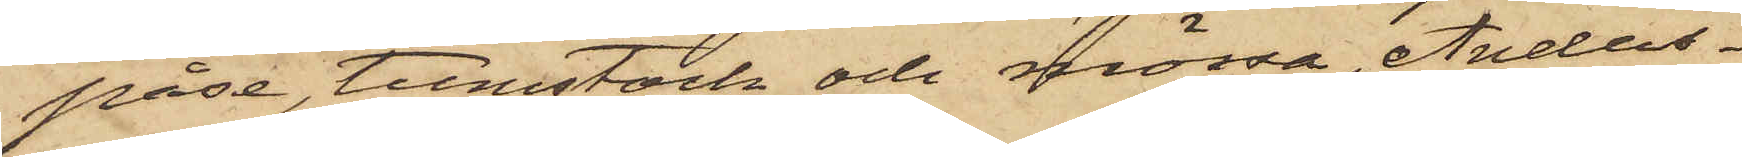påse, tumstock och mössa, Anders¬
